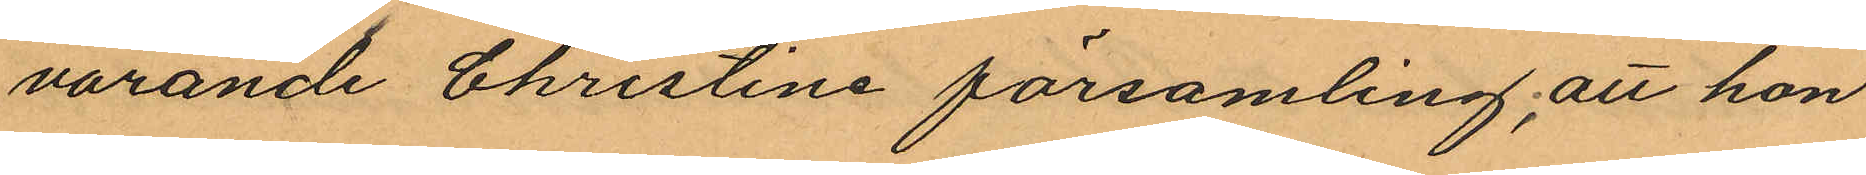varande Christine församling; att hon
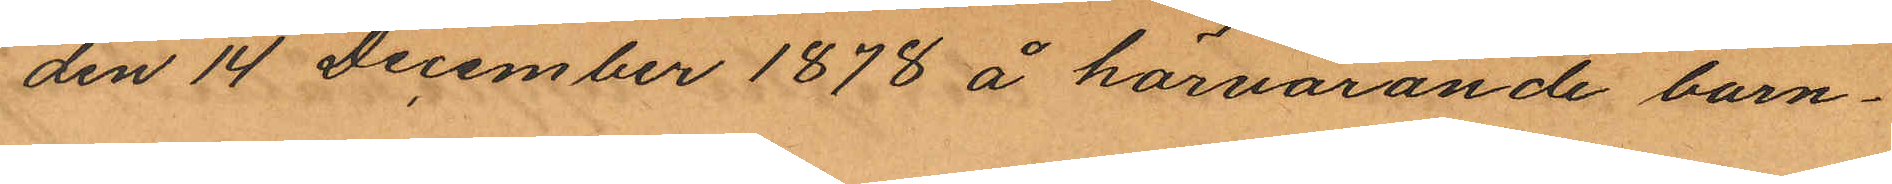den 14 December 1878 å härvarande barn¬
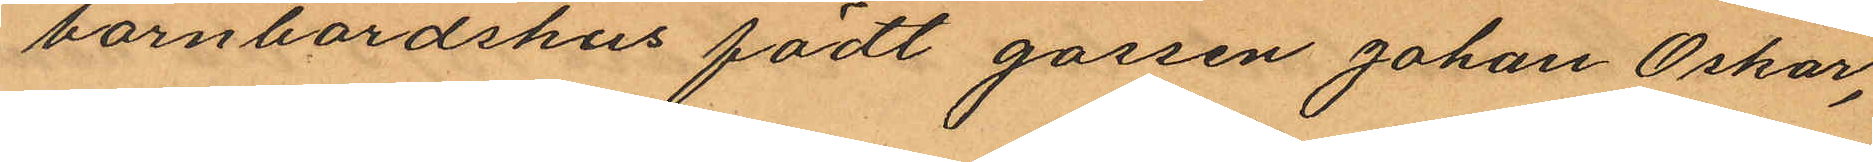barnbördshus födt gossen Johan Oskar,
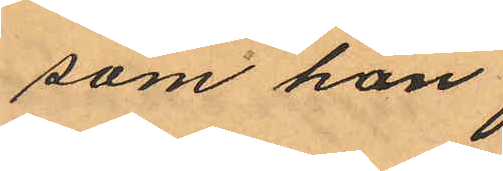som hon
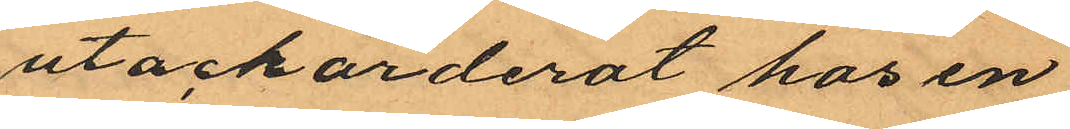utackorderat hos en
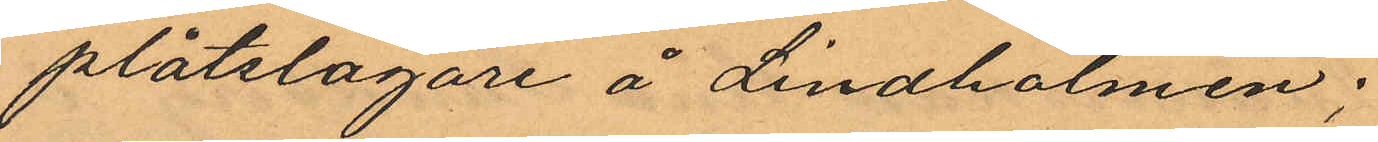plåtslagare å Lindholmen;
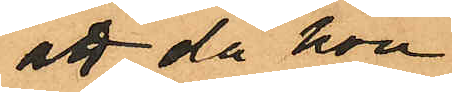att då hon
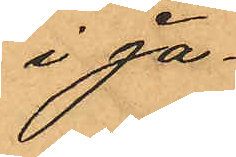i Ja¬
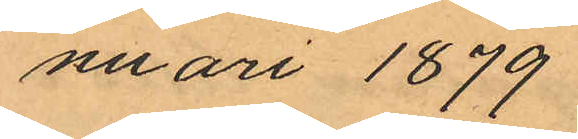nuari 1879
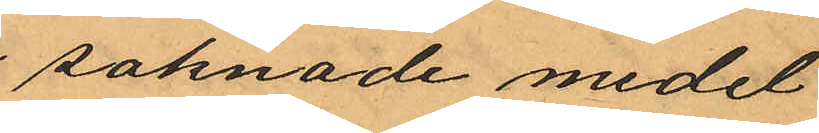saknade medel
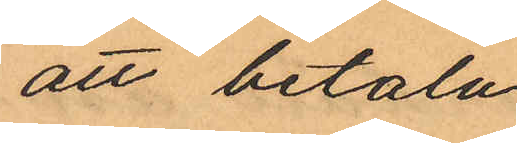att betala
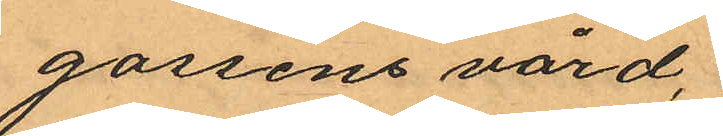gossens vård,
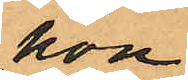hon
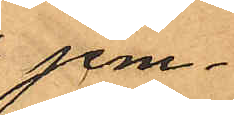jem¬
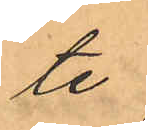te
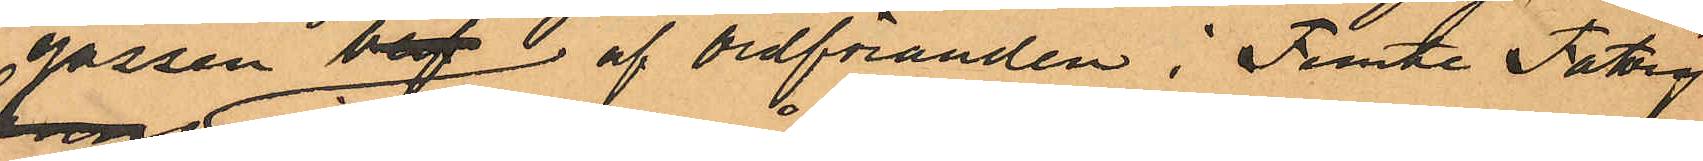gossen bof  af ordföranden i Femte Fattig
